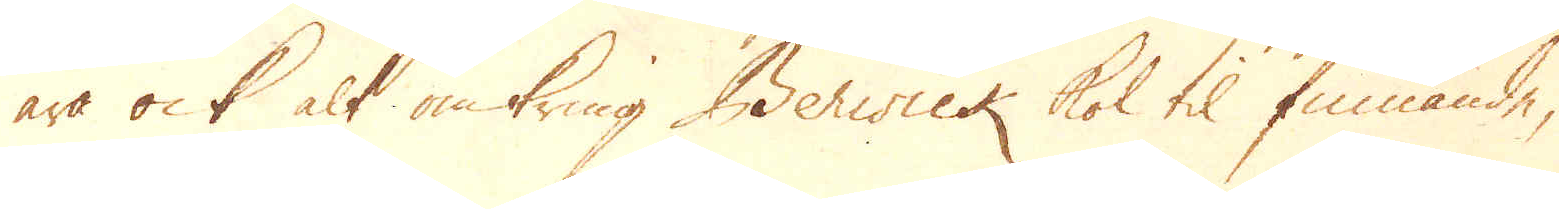äro ock alt omkring Berwick kol til finnande,
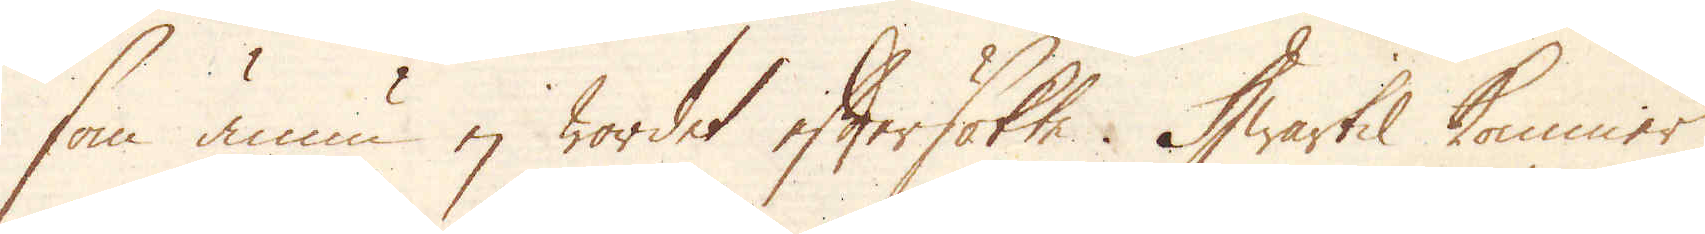som ännu ej wordet eftersökte. Hwartil kommer
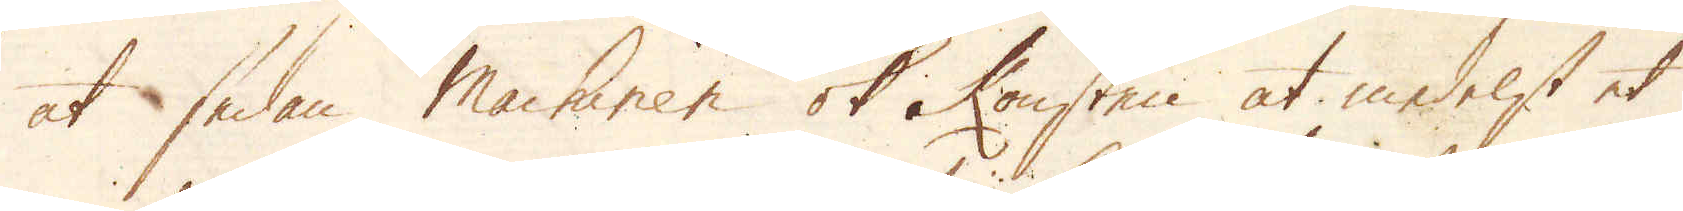at sedan machinen ok konsten at medelst et
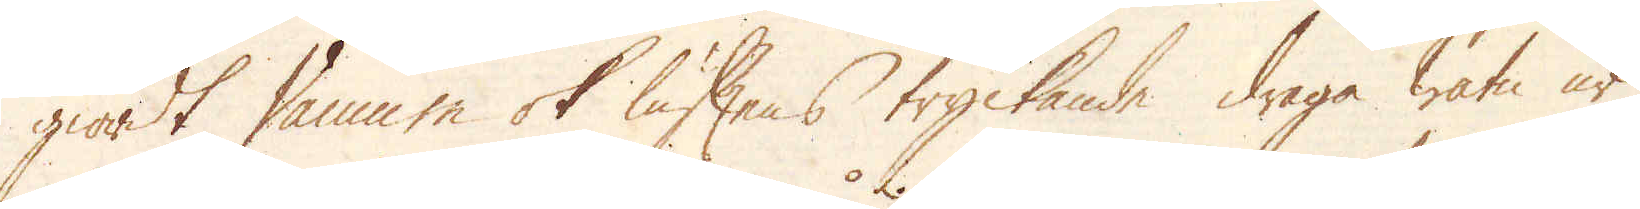giordt Vacuum ok luftens tryckannde draga watn ur
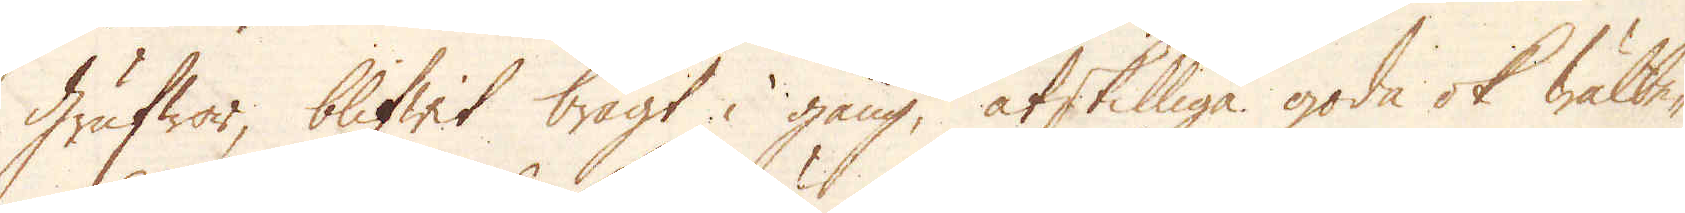grufwor, blifwit bragt i gång, åtskillige goda ok bättre-
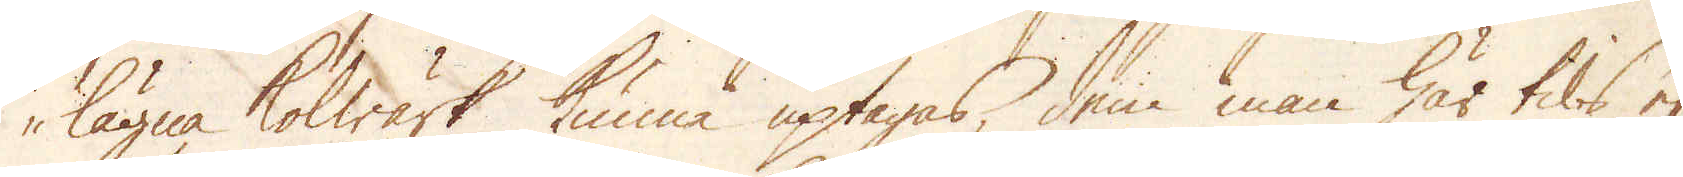lägne kolwärk kunna uptagas, dem man här tils ej
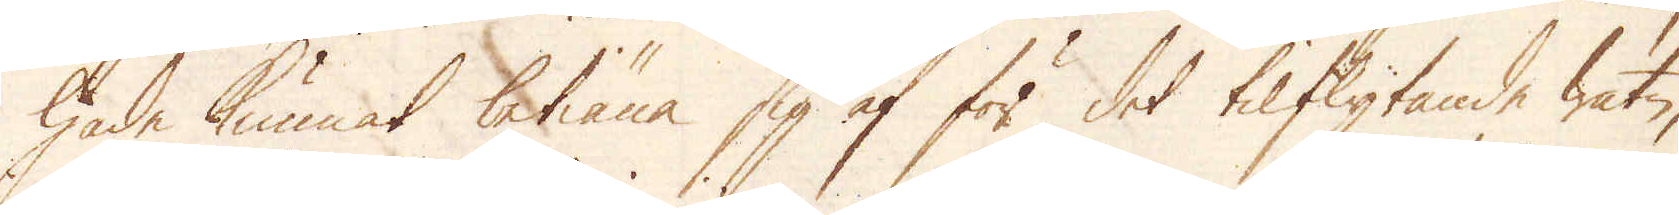hade kunnat betiäna sig af för det tilflytande watn,
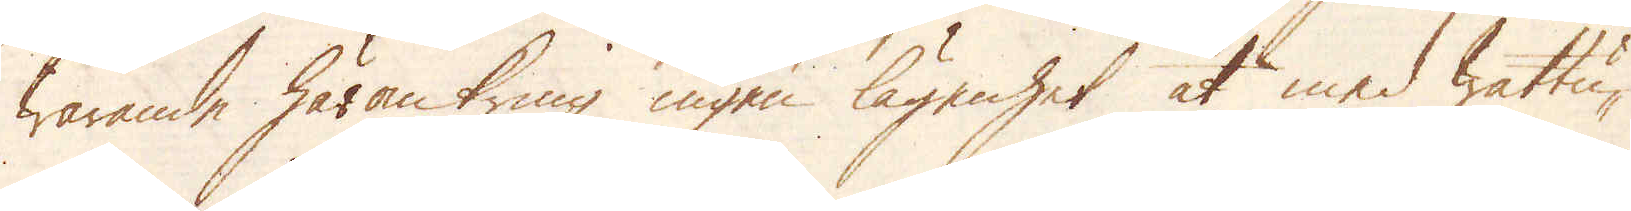warande häromkring ingen lägenhet at med wattu-
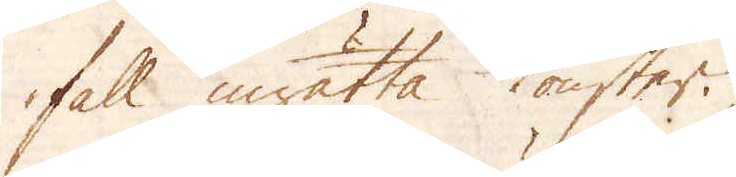fall inrätta konster.
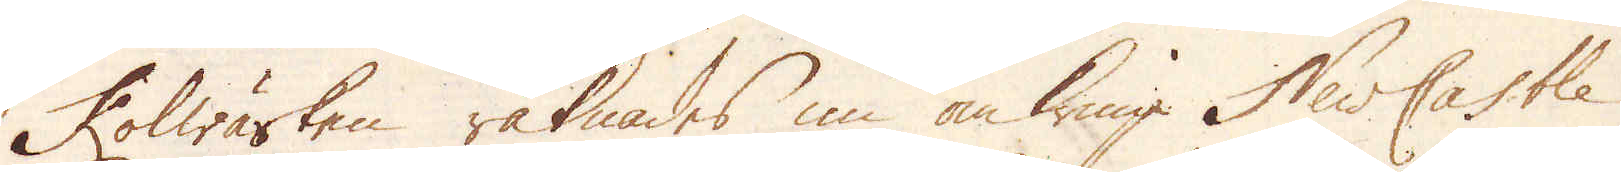Kolwärken räknades nu om kring NewCastle
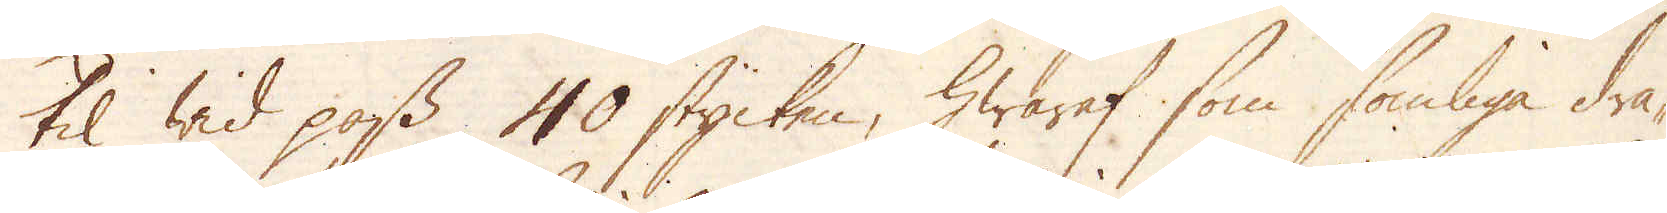til wid pass 40 stycken, hwaraf som somliga dra-
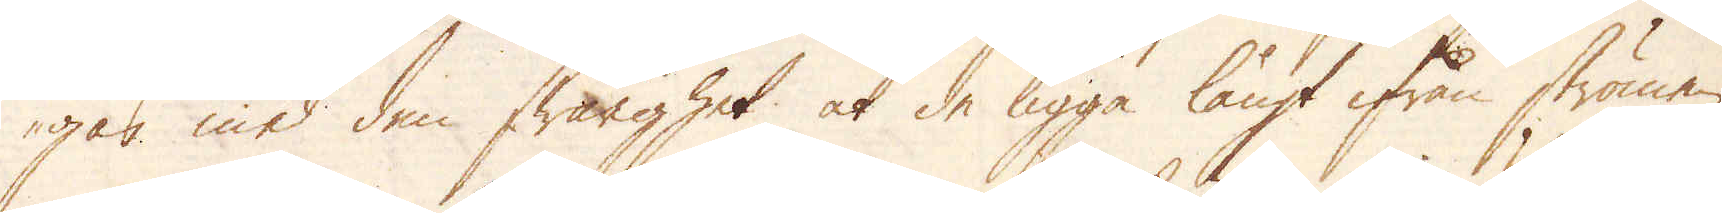gas med den swårighet at de ligga långt ifrån strömen,
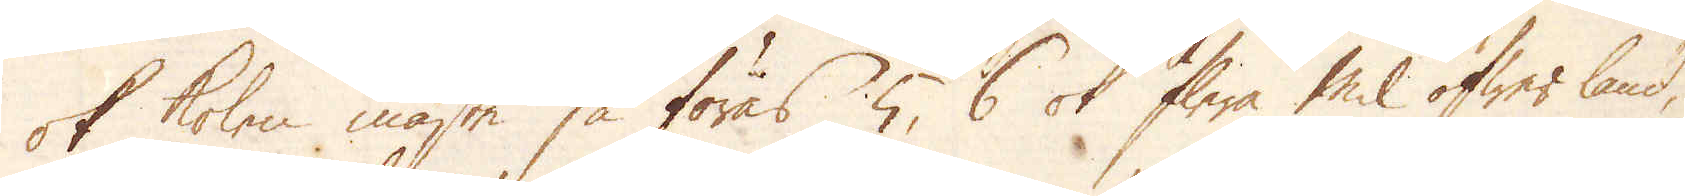ok kolen måste så föras 5, 6 ok flera mil öfwer land,
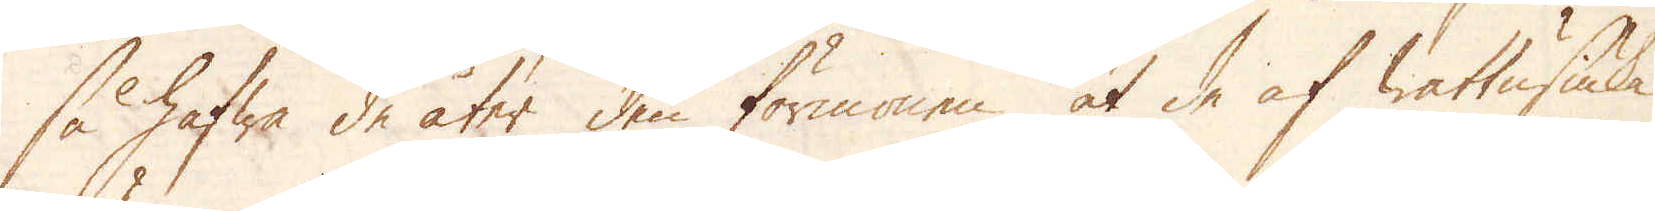så hafwa de åter den förmånen at de af wattusiuka
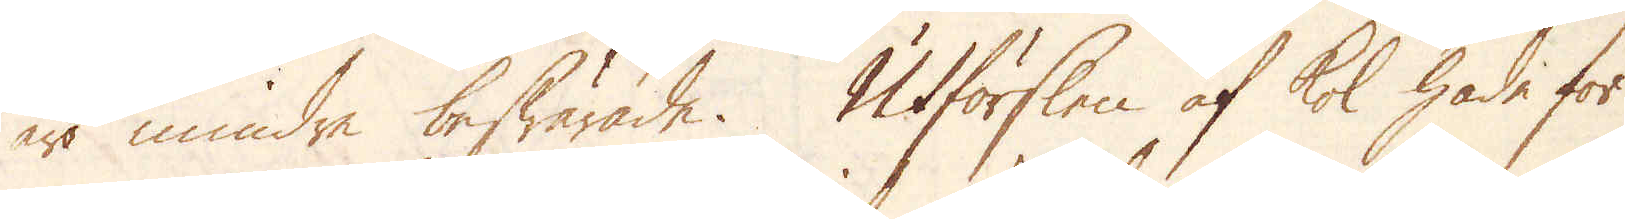är mindre beswärade. Utförslen af kol hade för
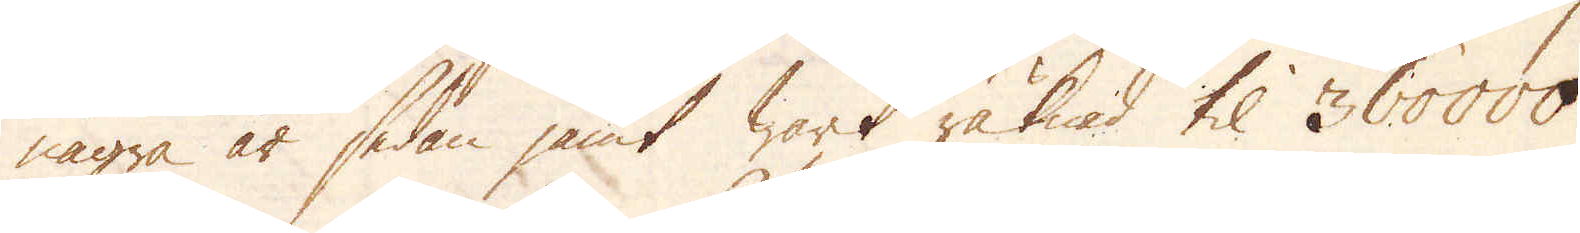några år sedan jämt warit räknad til 360000
